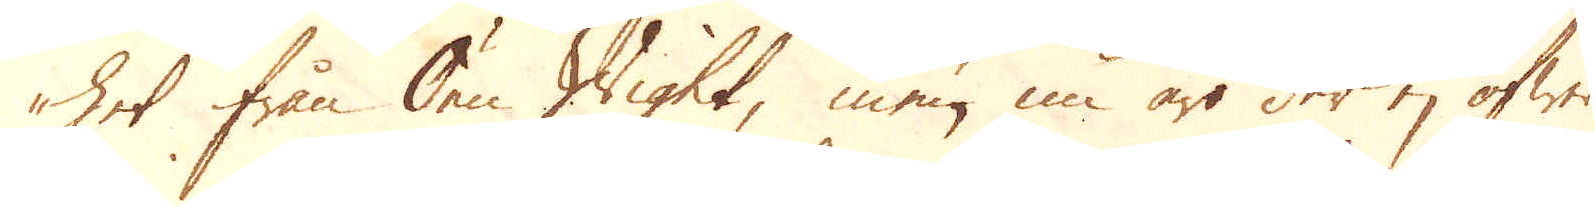het ifrån Öen Wight, men nu äro der ej öfwer
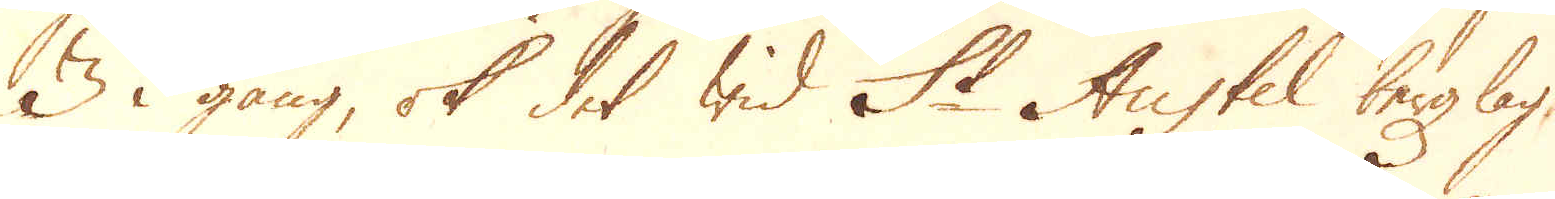3 i gång, ok det wid St Austel bergzlag,
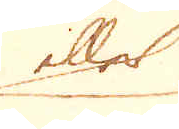eller
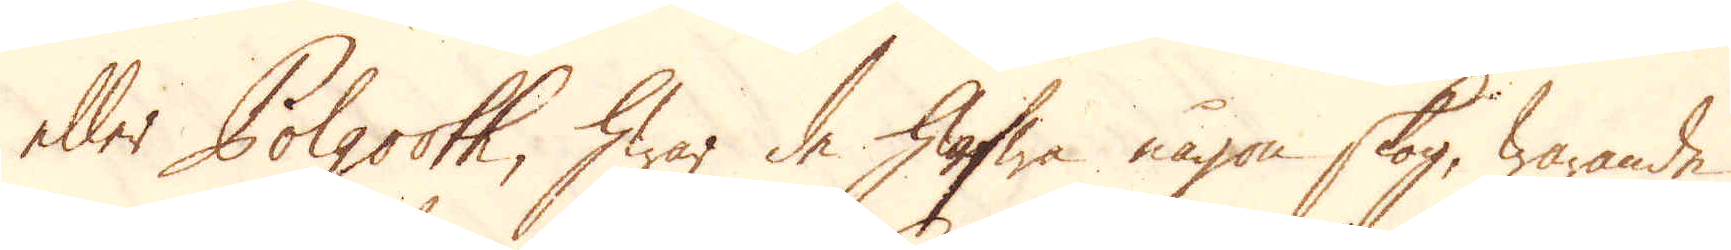eller Polgooth, hwar de hafwa någon skog, warande
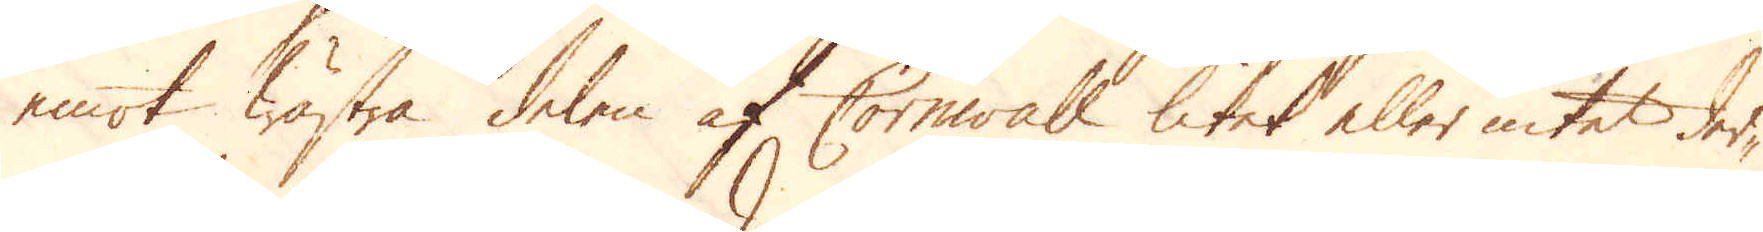emot wästra delen af Cornwall litet eller intet der-
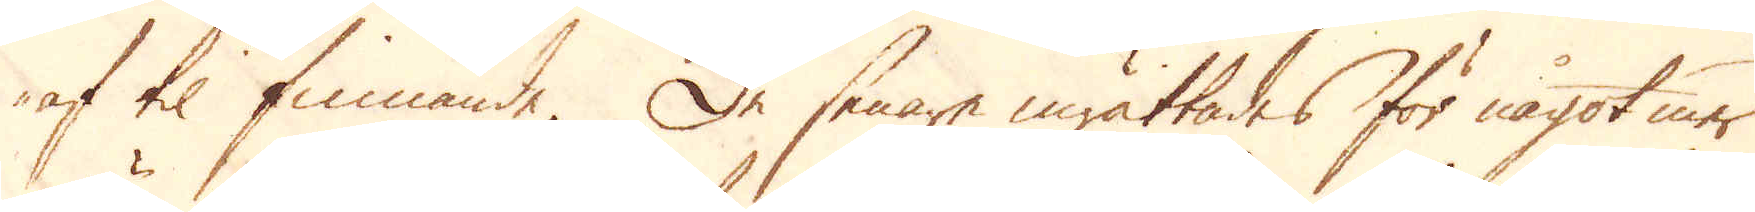af til finnande. De senare inrättades för något mer
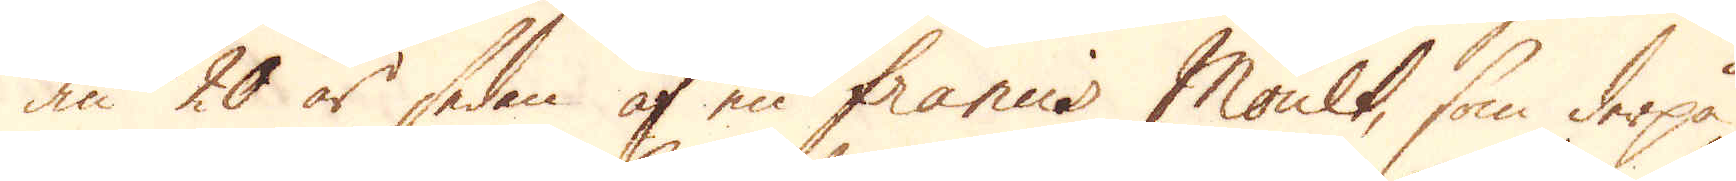än 20 år sedan af en francis Moult, som derpå
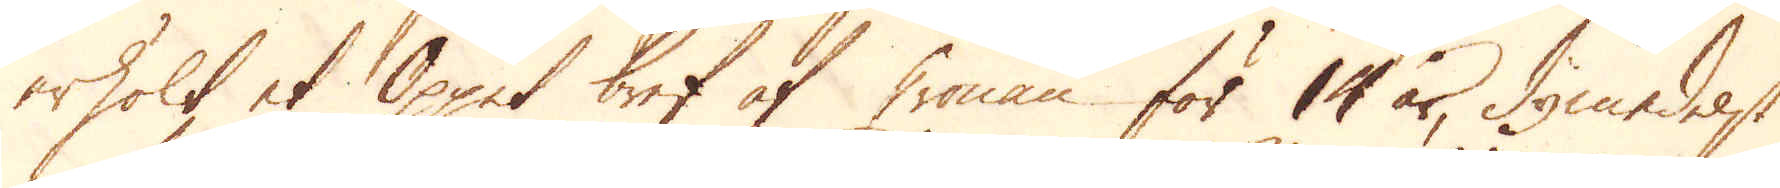erhölt et Öppet bref af Cronan för 14 år, dymedelst
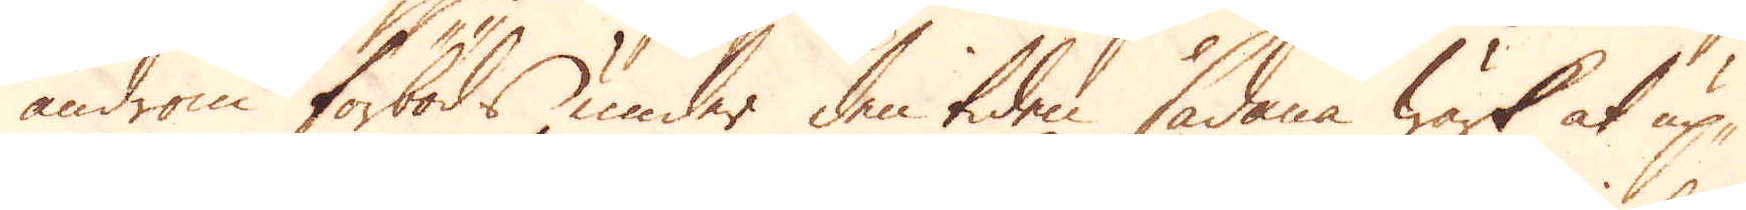androm förböds under den tiden sådana wärk at up-
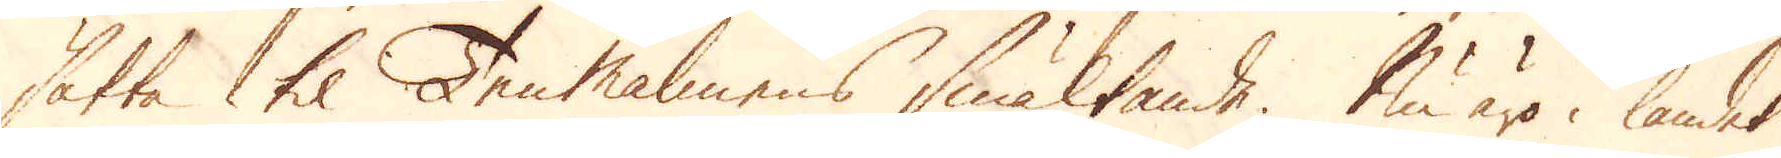sätta til Ten malmens smältande. Nu äro i landet
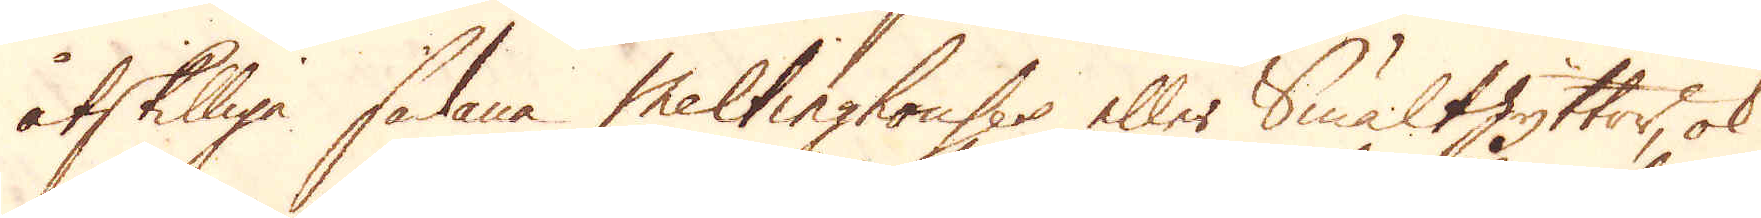åtskilliga sådana Meltinghouses eller smälthyttor, ok
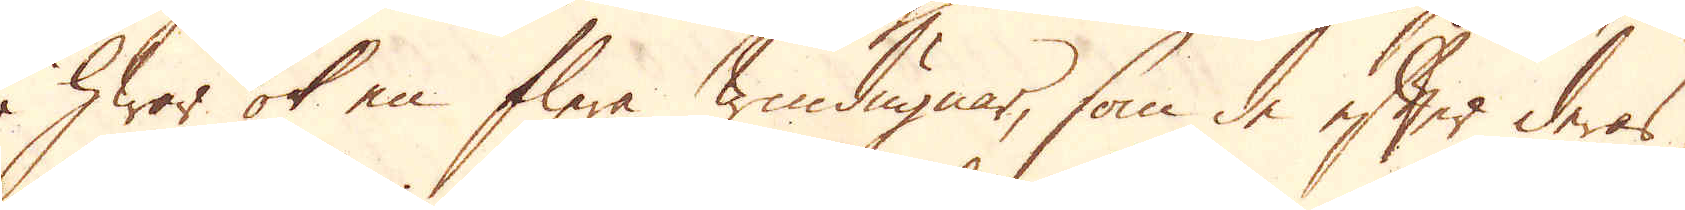i hwar ok en flere windugnar, som de efter deras
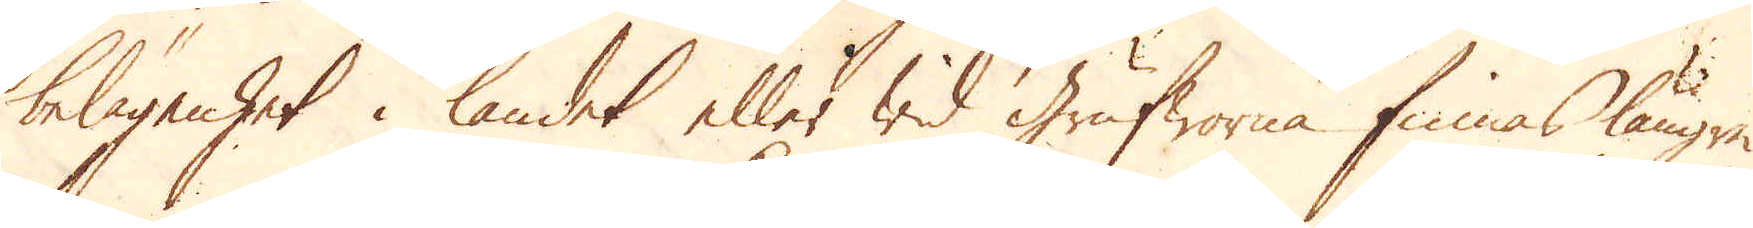belägenhet i landet eller wid Grufworne finnas längre
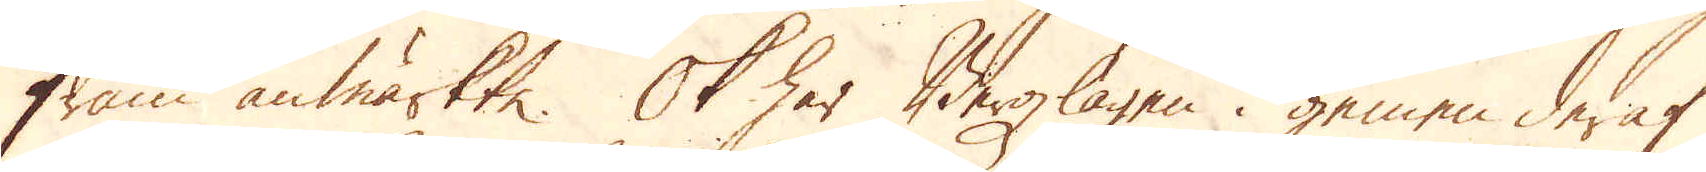fram anmärkte. Ok har Bergzlagen i gemen deraf
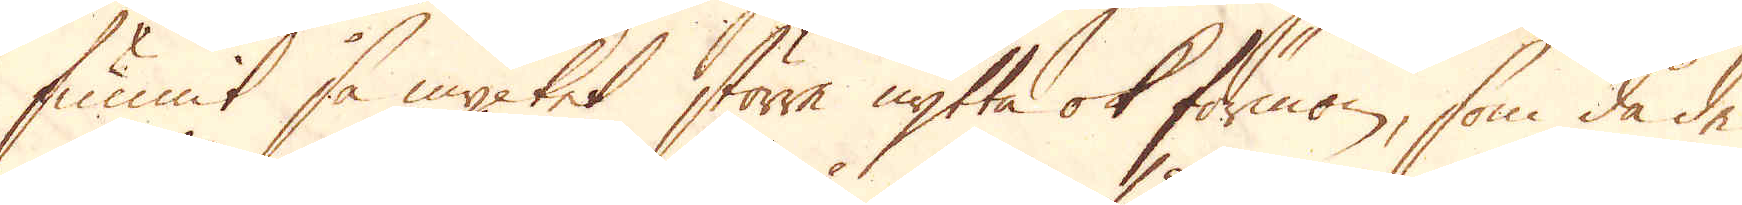funnit så mycket större nytta ok förmon, som då de
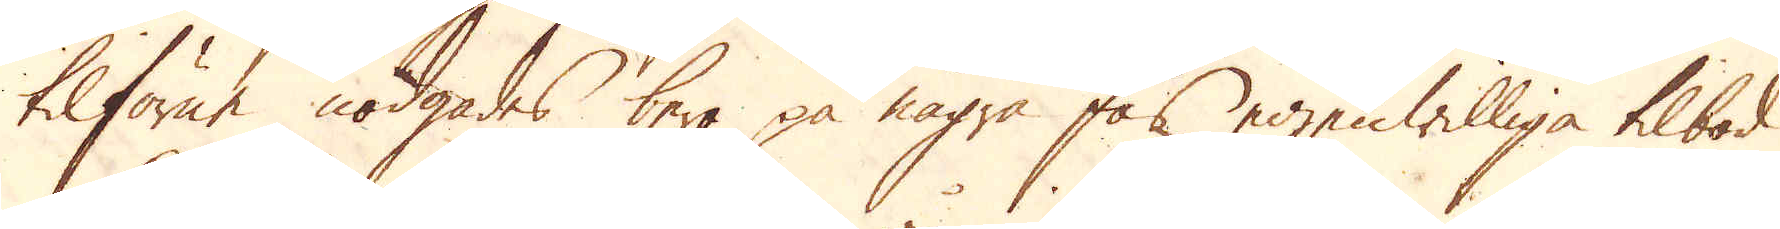tilförne nödgades bara på några fås egenwilliga tilbod
